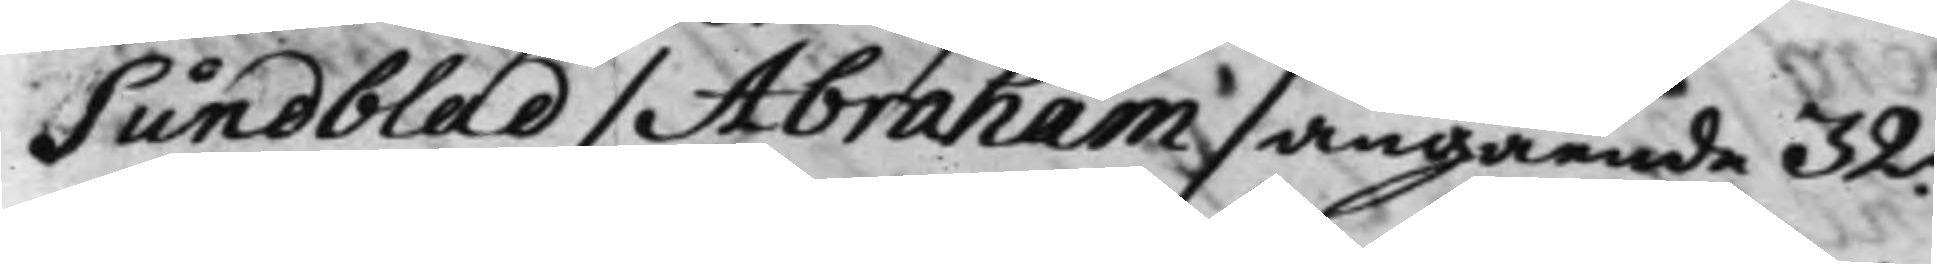Sundblad / Abraham / angående 32.
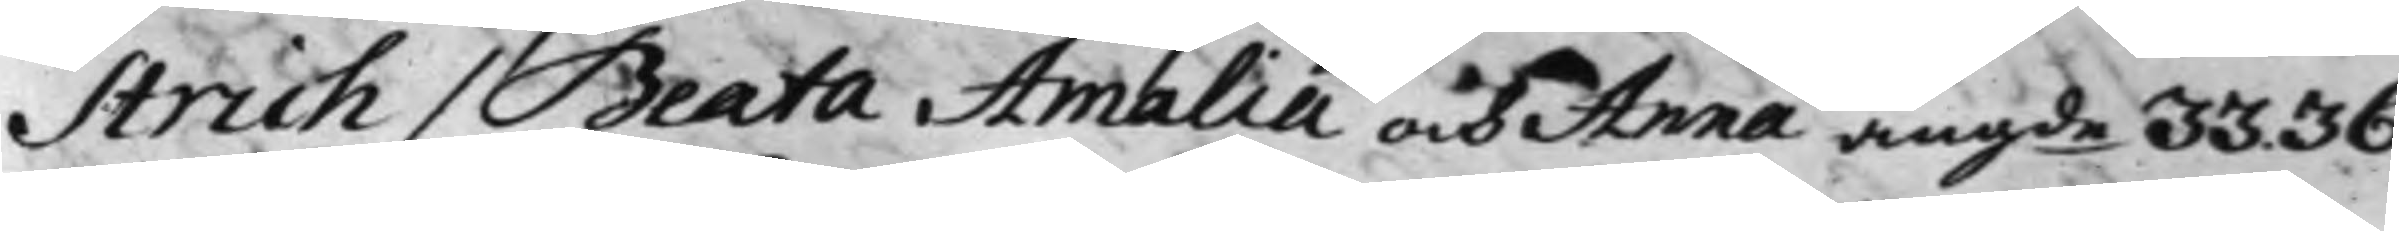Strich / Beata Amalia och Anna angde 33. 36.
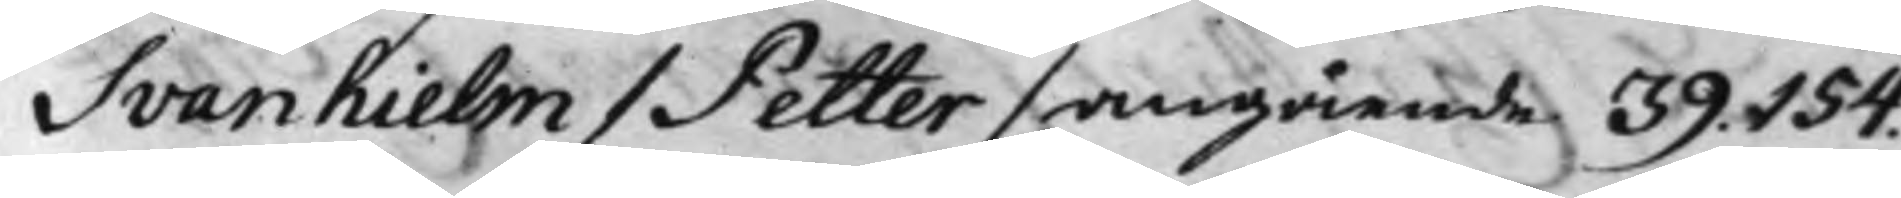Svanhielm / Petter / angående 39. 154.
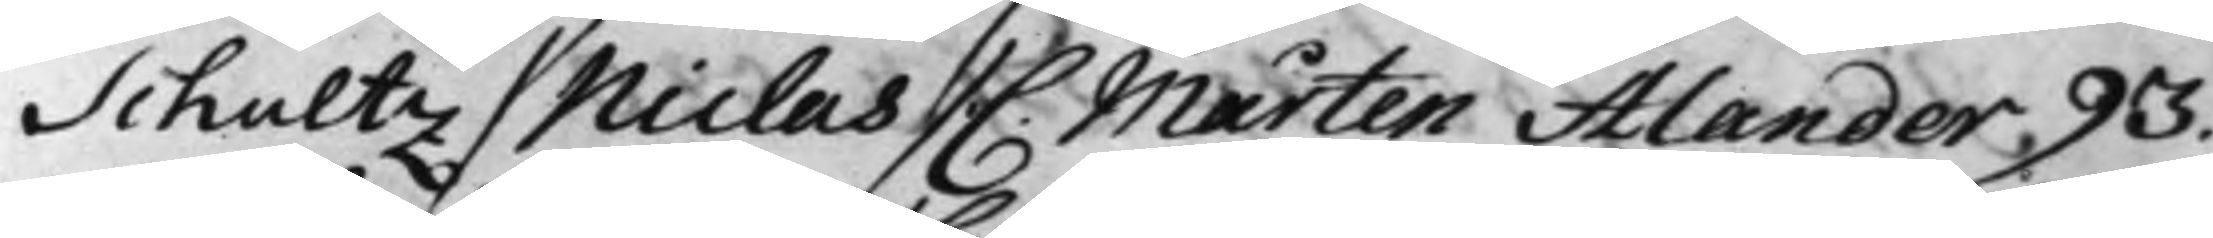Schultz / Niclas / C. Mårten Alander 93.
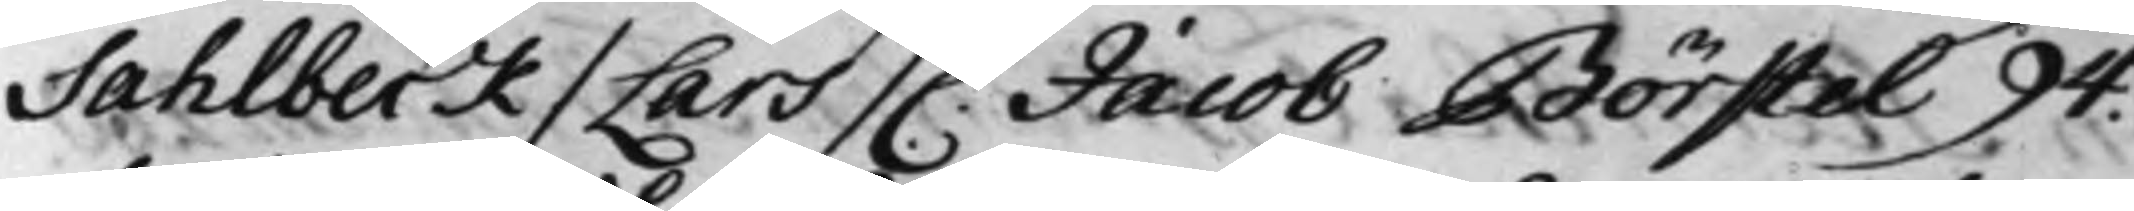Sahlbeck / Lars / C. Jacob Börstel 94.
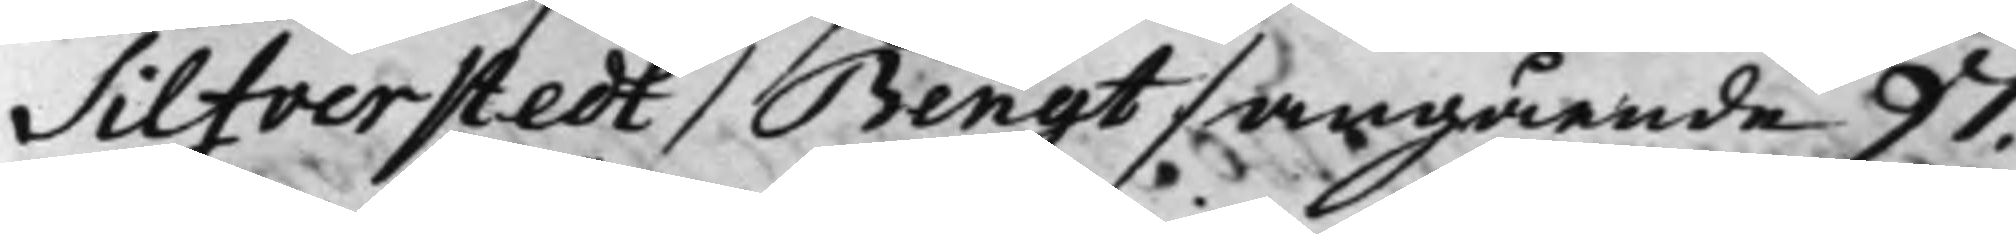Silfverstedt / Bengt / angående 97.
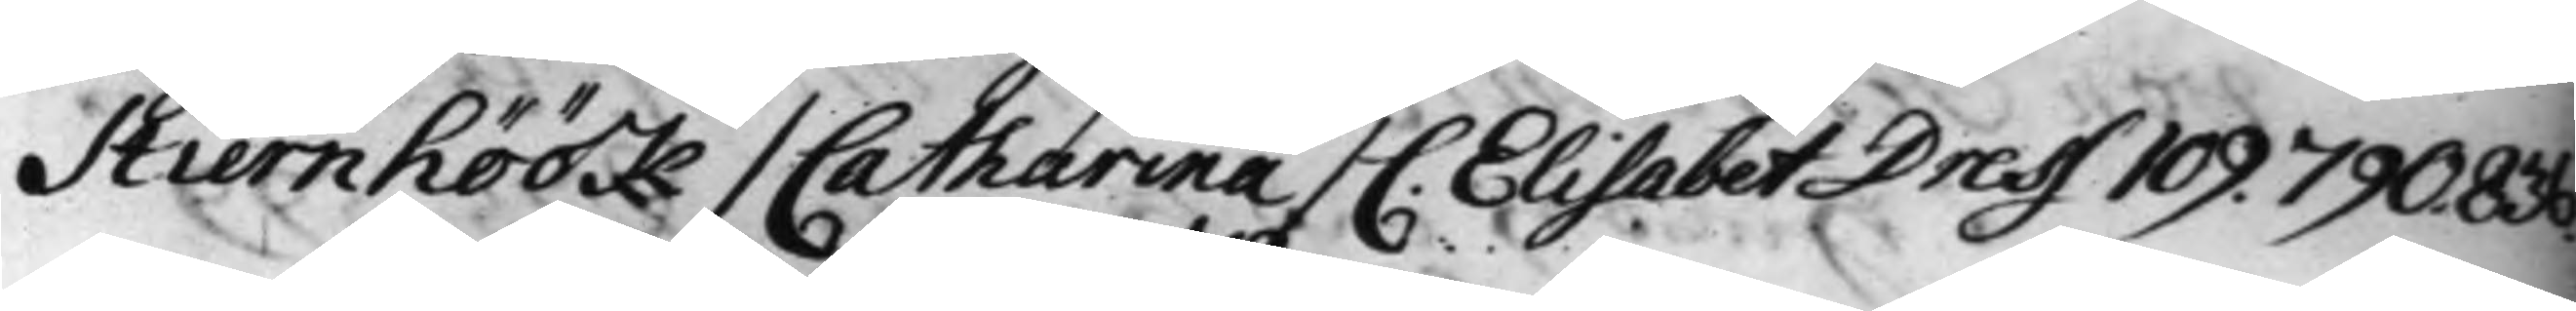Stiernhöök / Catharina / C. Elisabeth Dress 109. 790. 836.
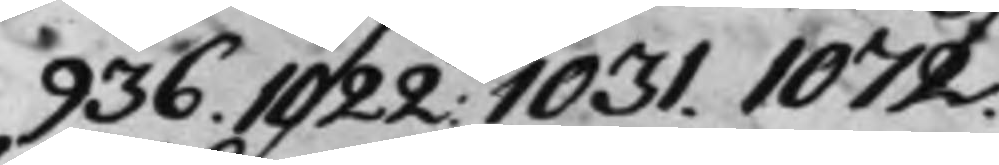936. 1022. 1031. 1072.
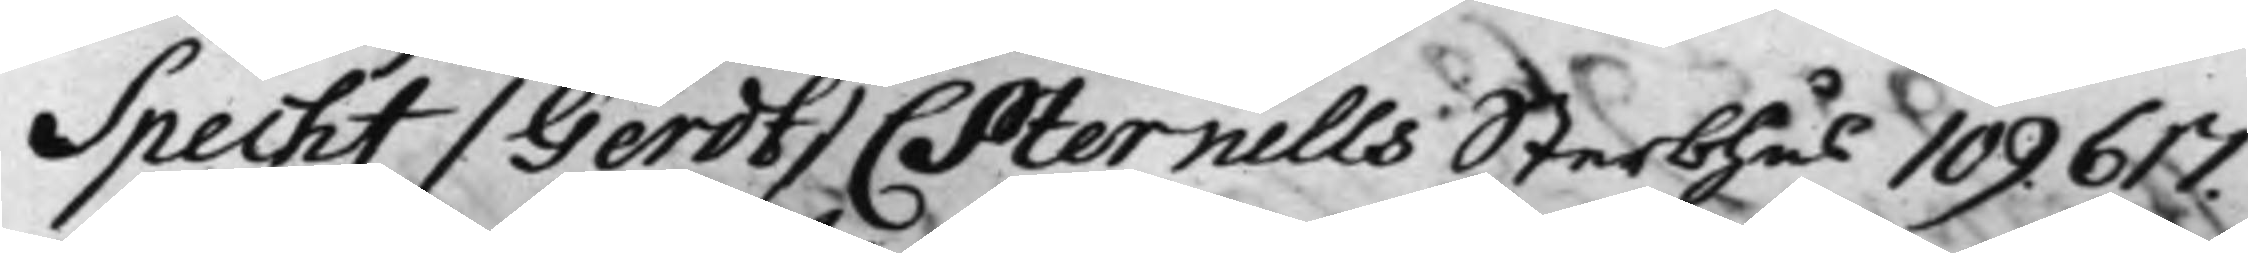Specht / Gerdt / C Sternells Sterbhus 109 617.
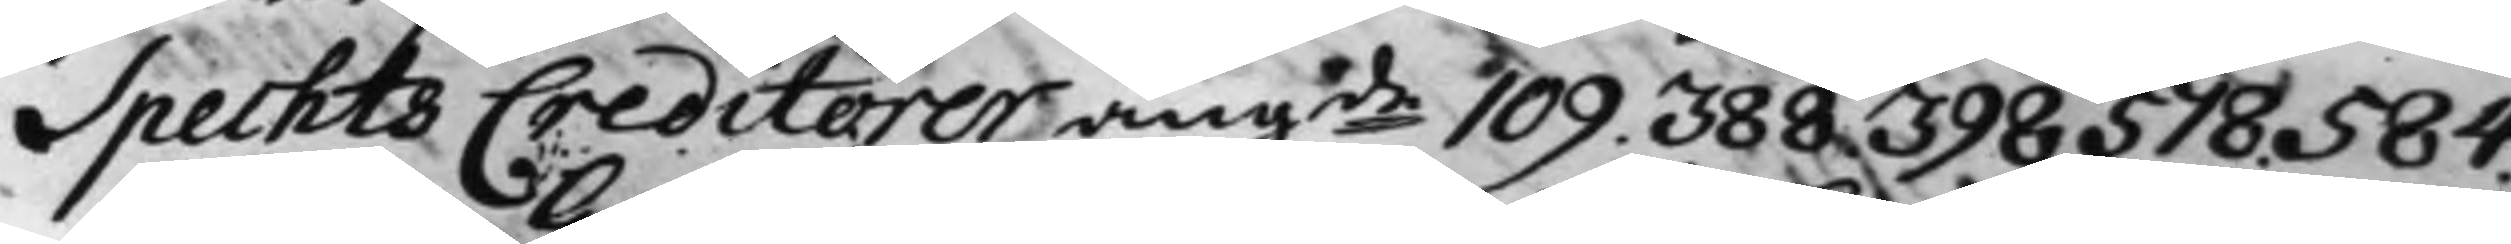Spechts Creditorer angde 109. 388. 398. 578. 584.
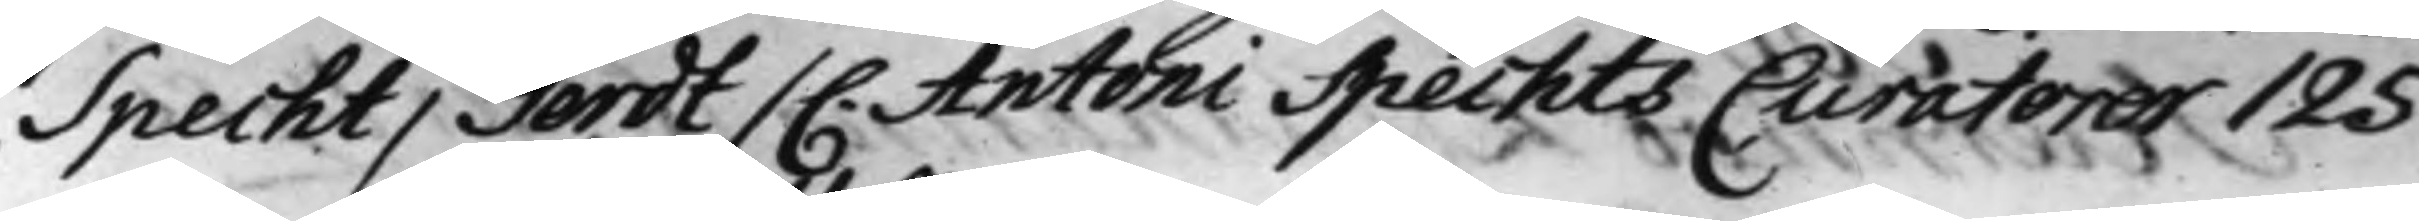Specht / Gerdt / C. Antoni Spechts Curatorer 125.
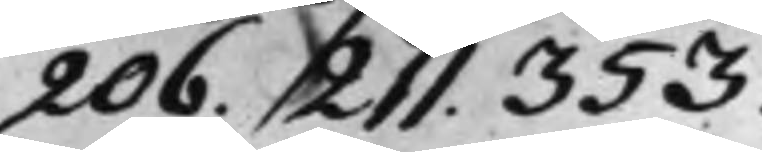206. 211. 353.
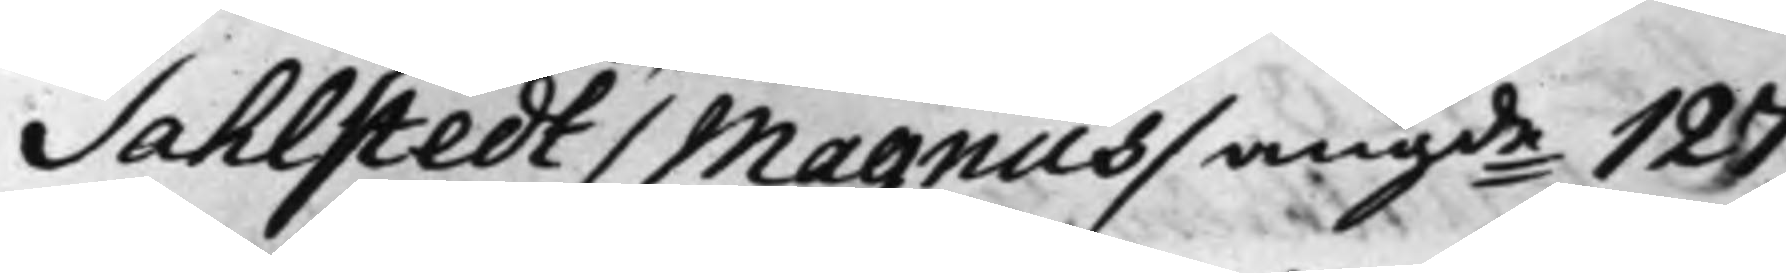Sahlstedt / Magnus / angde 127.
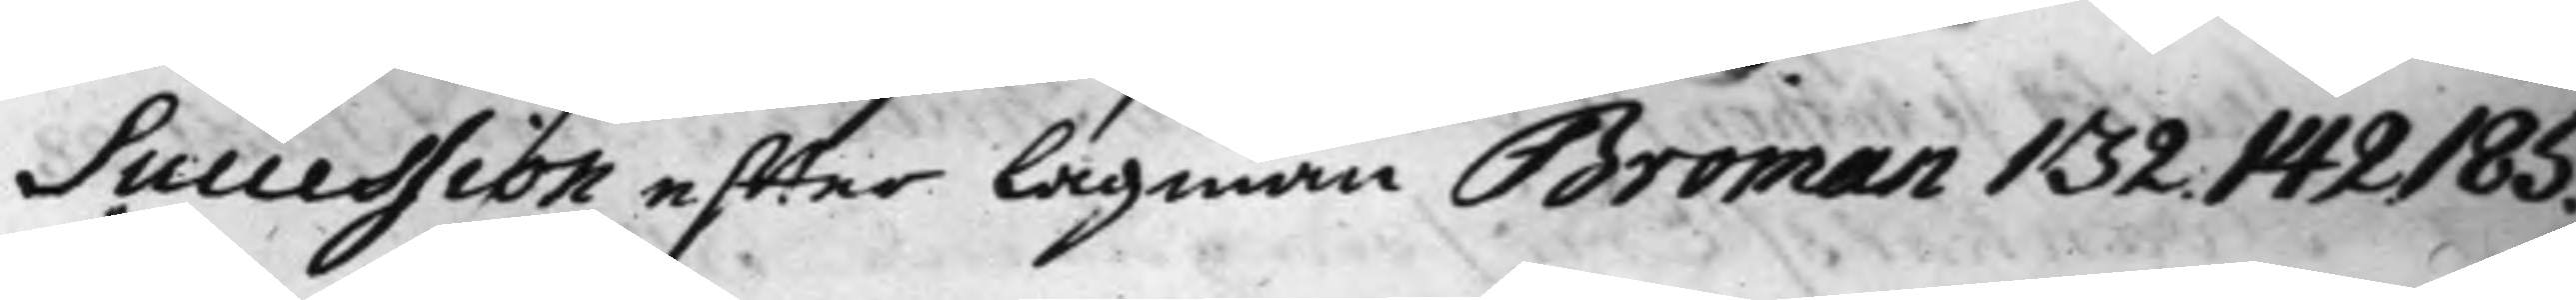Succession effter Lagman Broman 132. 142. 185.
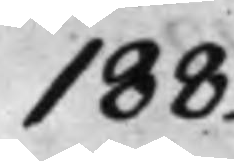188.
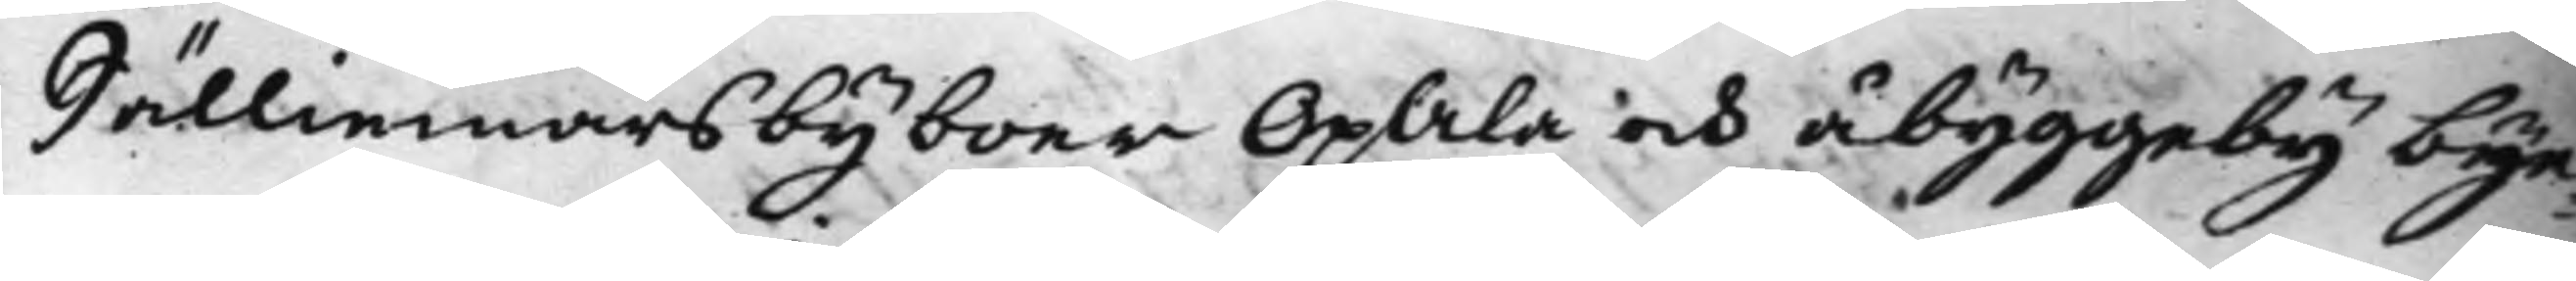Sälliemars byboer OpAla och åbyggeby bye¬
